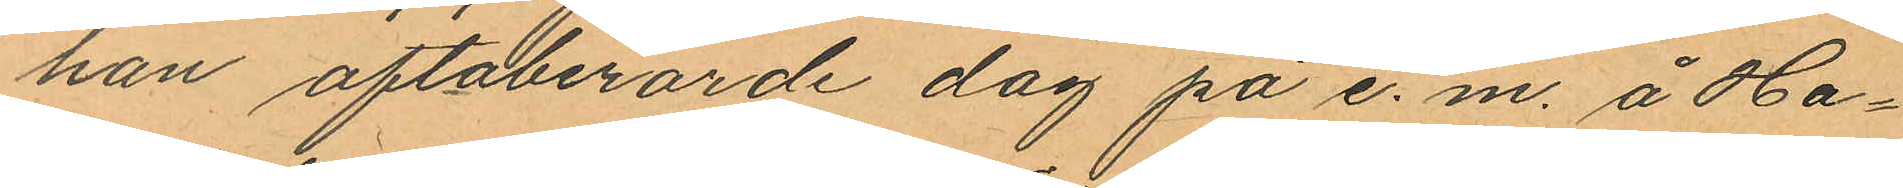han oftaberörde dag på e. m. å Ha¬
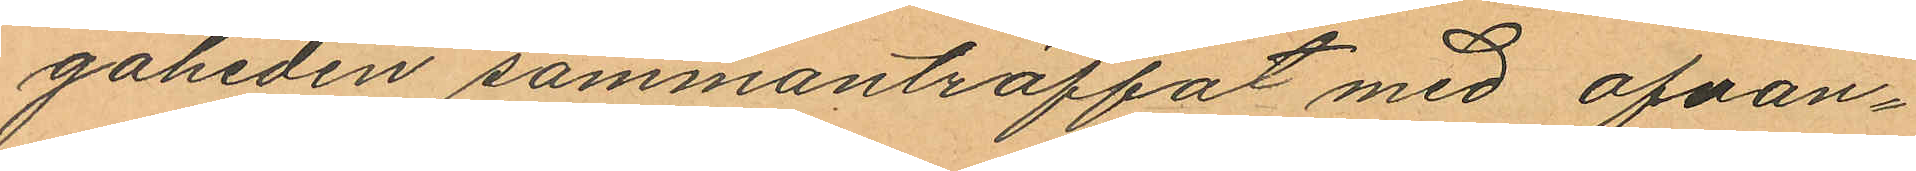gaheden sammanträffat med ofvan¬
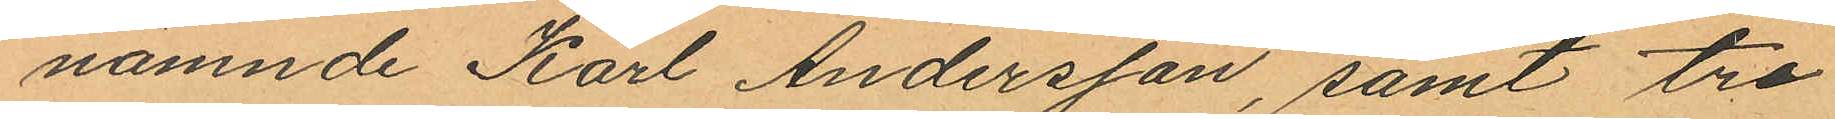nämnde Karl Andersson, samt tre
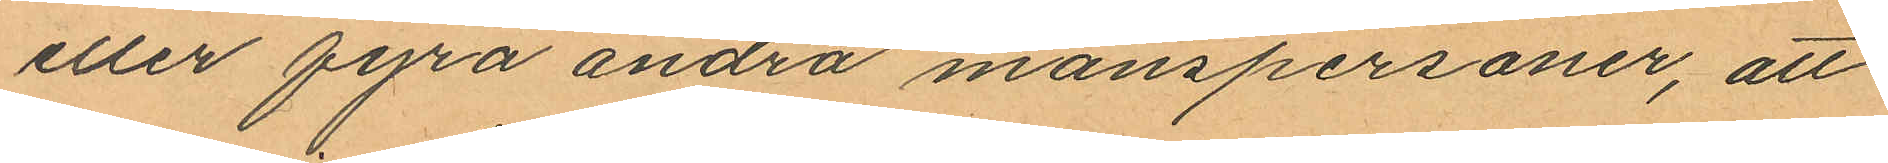eller fyra andra manspersoner, att
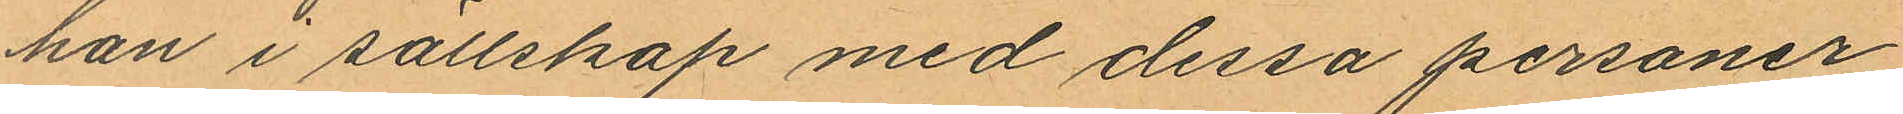han i sällskap med dessa personer
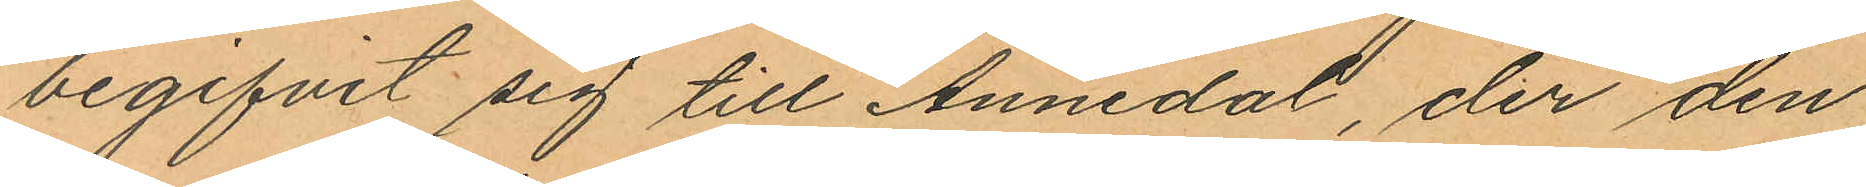begifvit sig till Annedal, der den
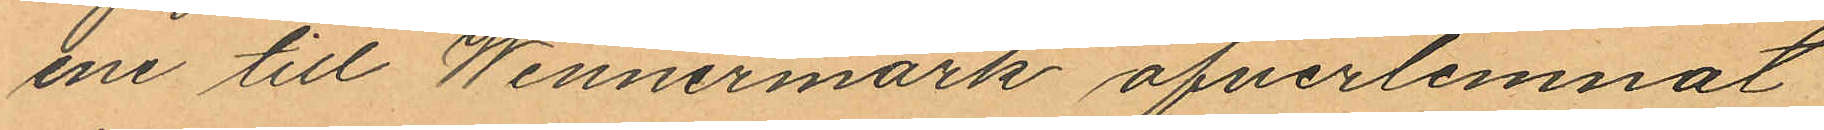ene till Wennermark öfverlemnat
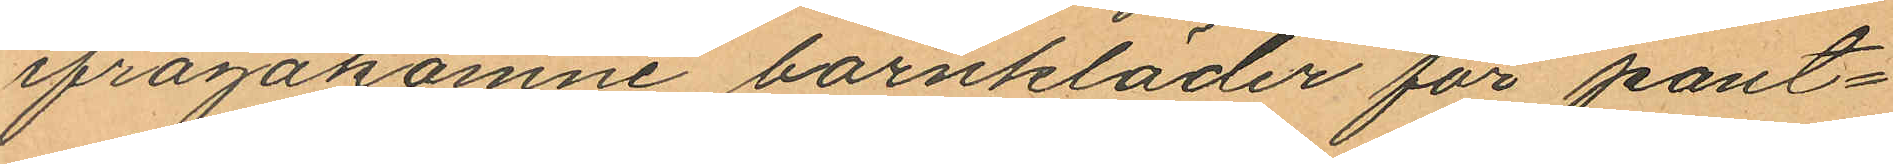ifrågakomne barnkläder för pant¬
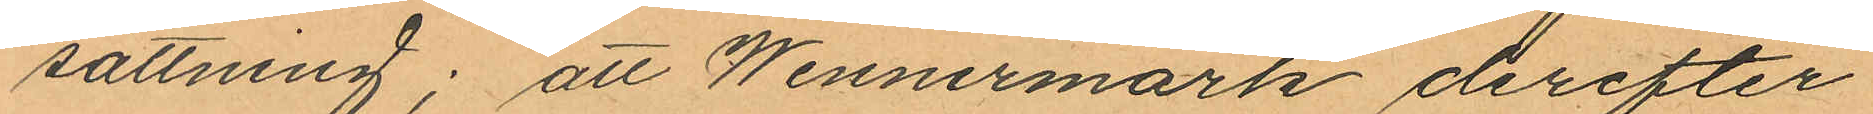sättning; att Wennermark derefter
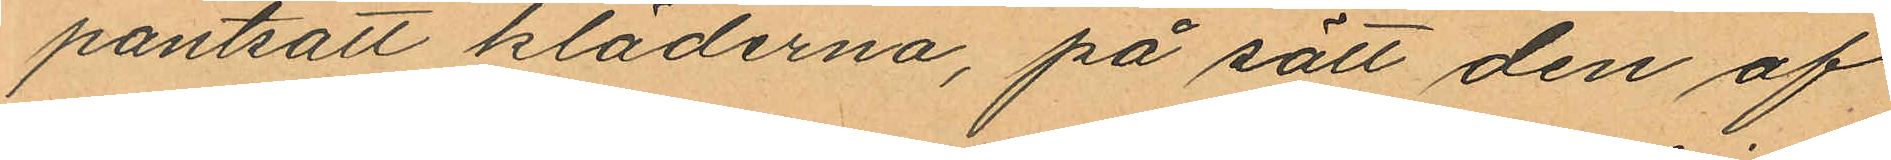pantsatt kläderna, på sätt den af
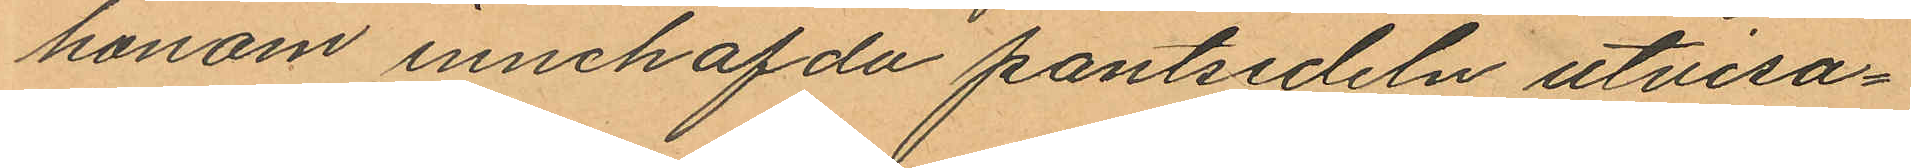honom innehafda pantsedeln utvisa¬
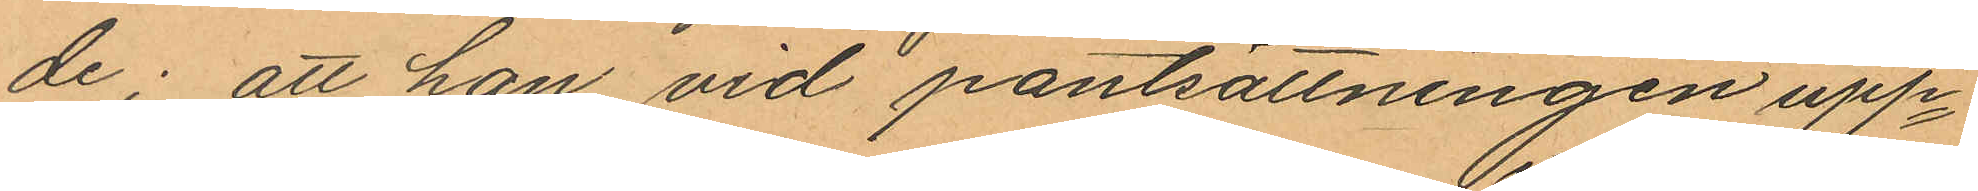de; att han vid pantsättningen upp¬
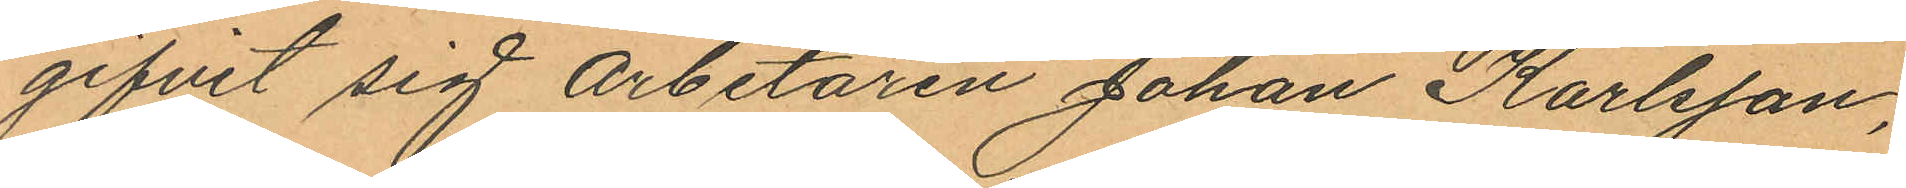gifvit sig Arbetaren Johan Karlsson,
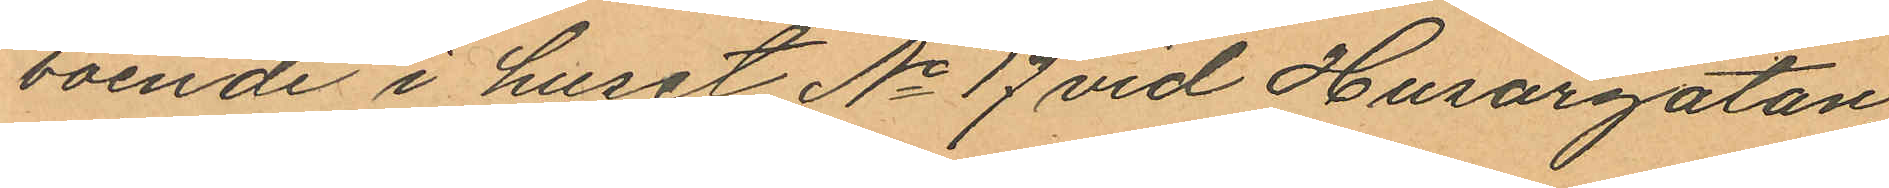boende i huset No 17 vid Husargatan
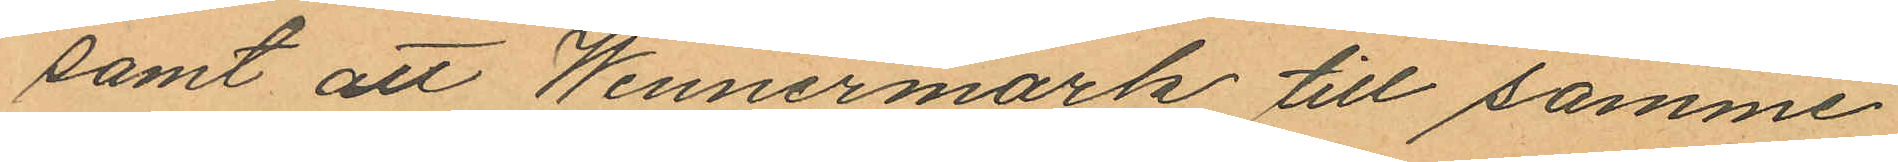samt att Wennermark till samme
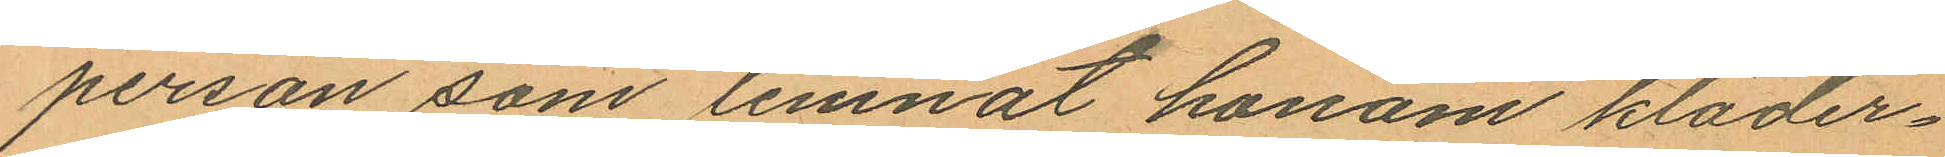person som lemnat honom kläder¬
